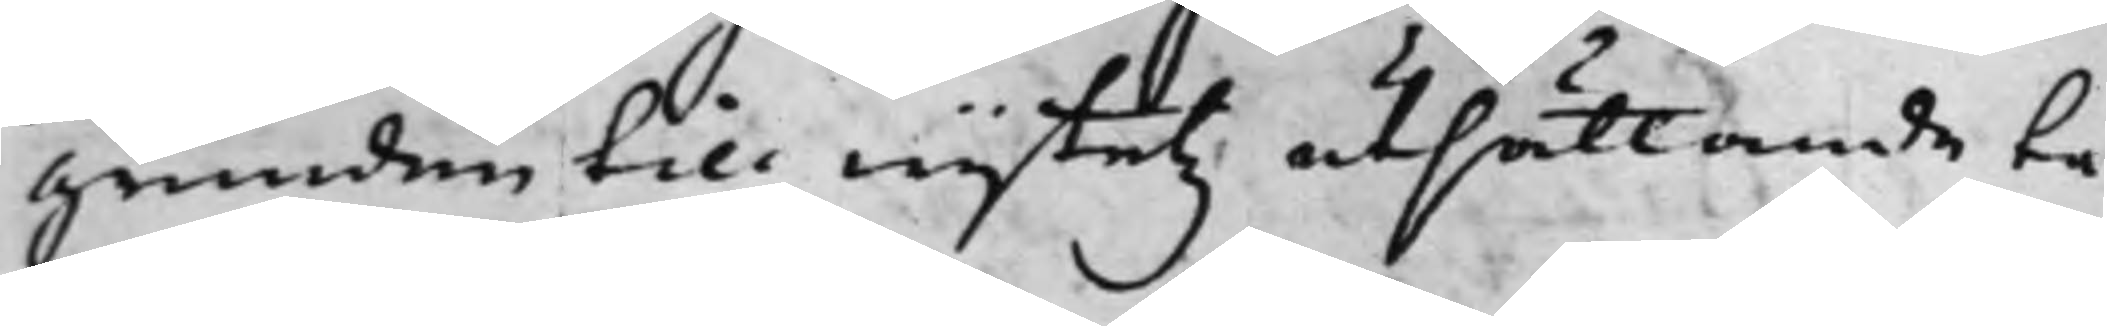grunden till wijtetz utsättande ta¬
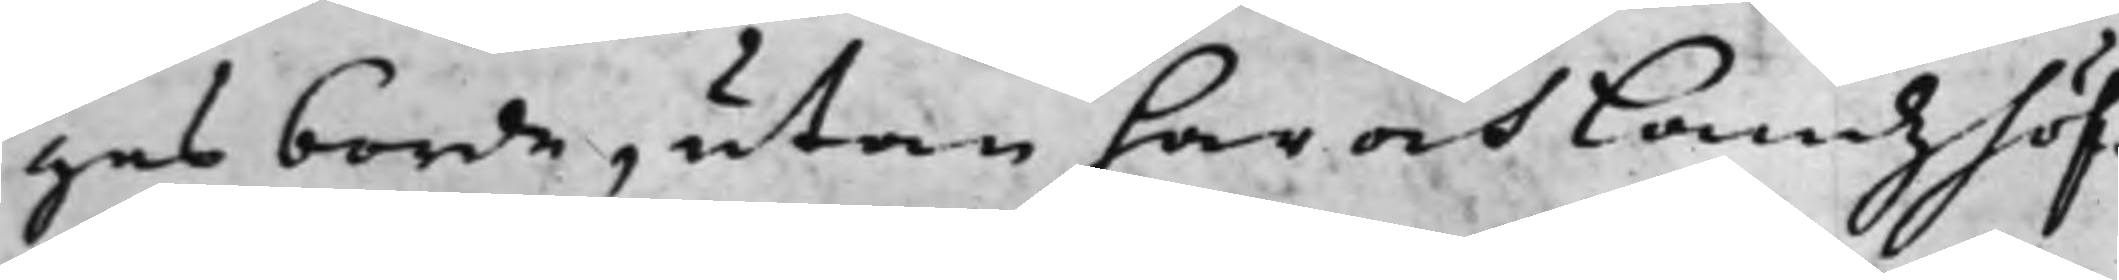gas borde, utan har och Landzhöf¬
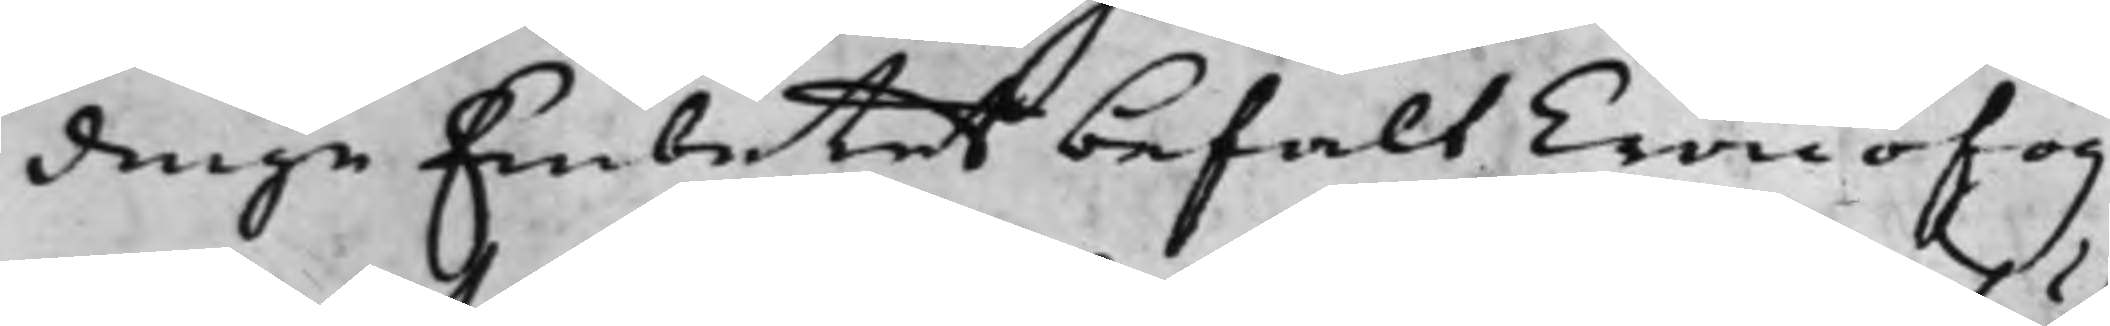dinge Embetet befalt Cronofog¬
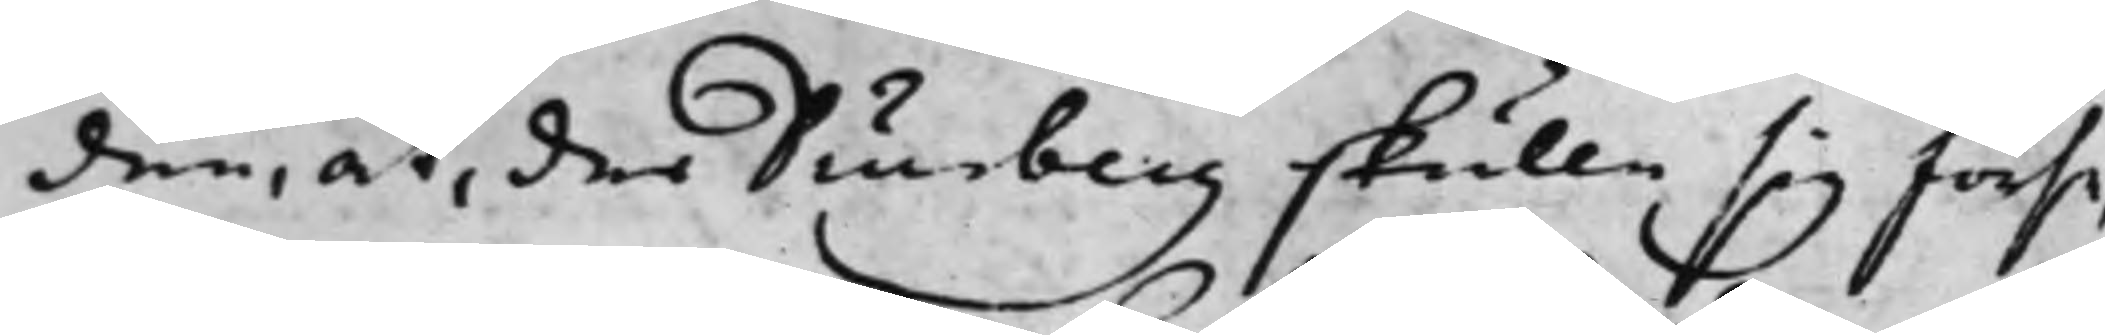den, at, der Diurberg skulle sig förse,
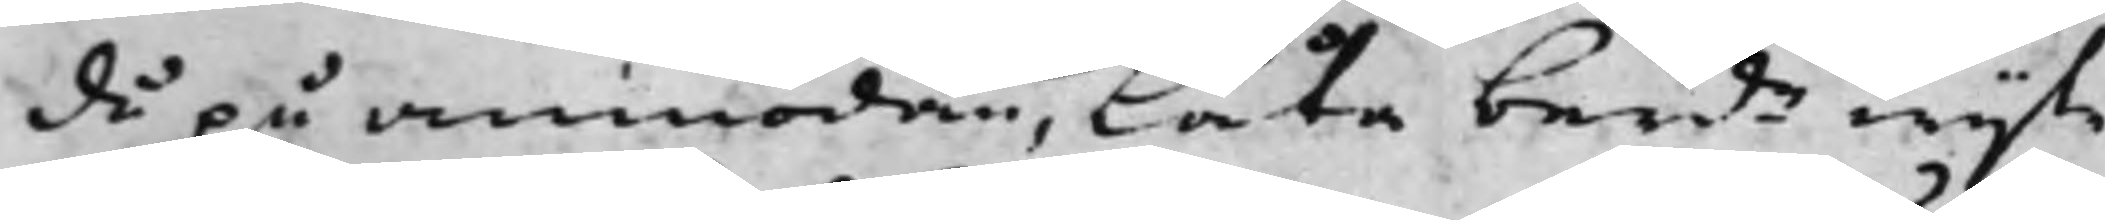då på anmodan, låta berde wijte
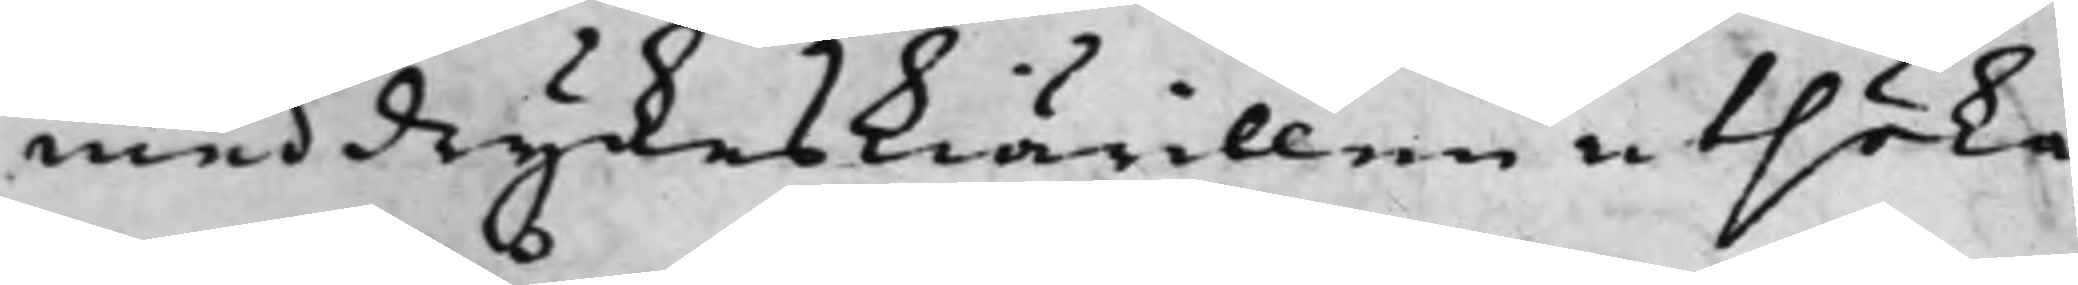med dryckeskiärillen utsöka,
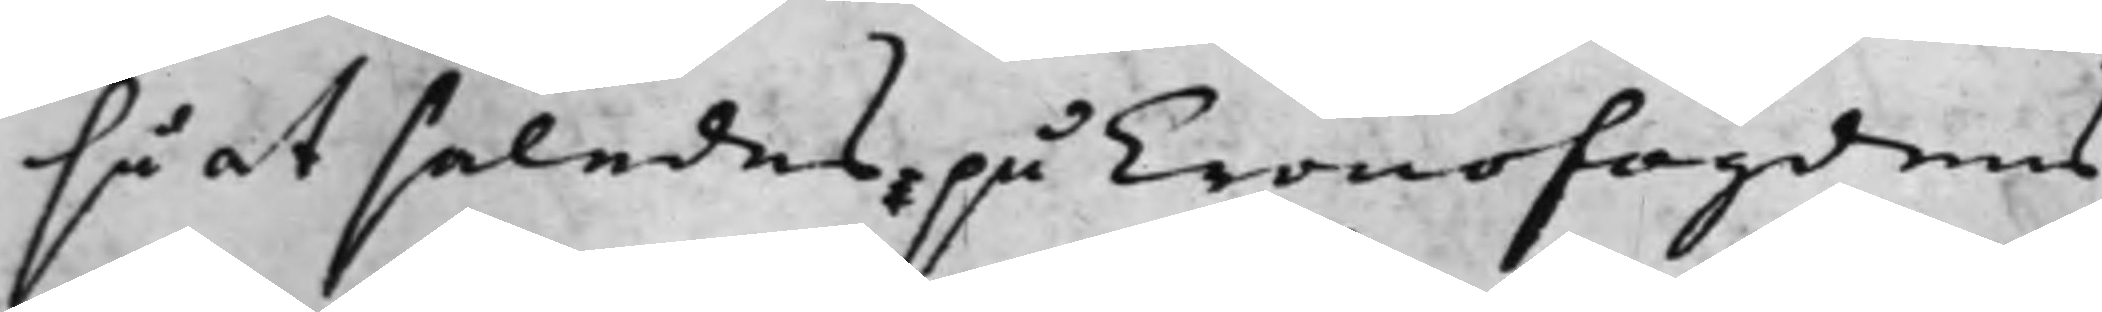så at således, på Cronofogdens
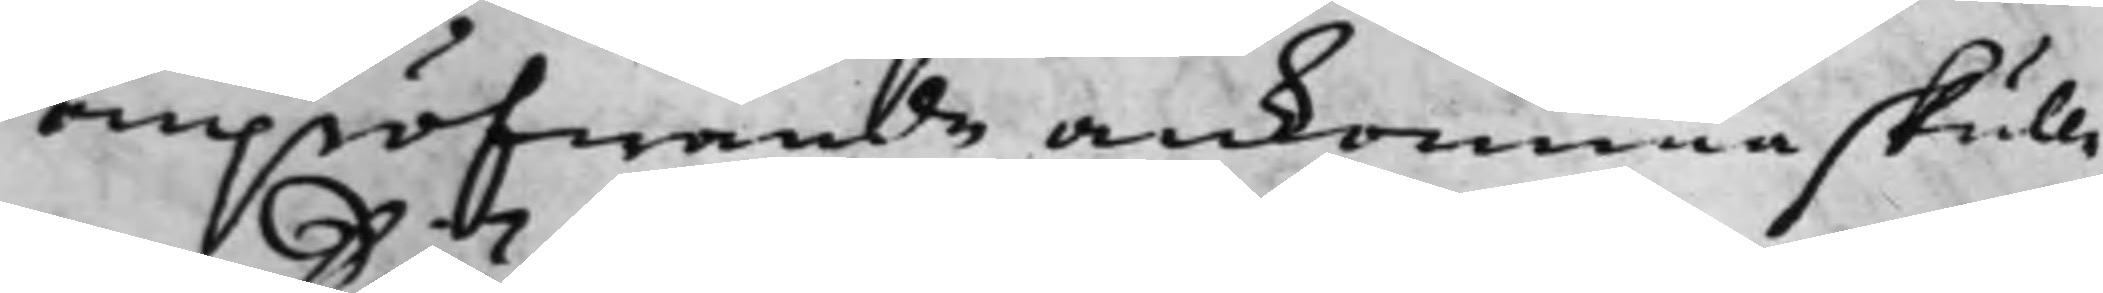ompröfwande ankomma skulle,
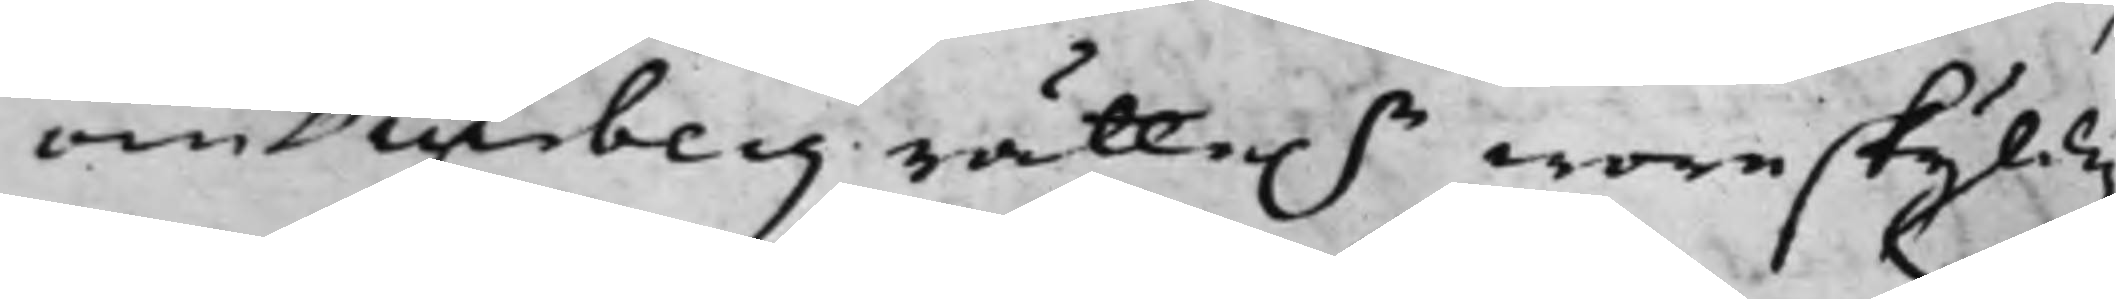om Diurberg rätte.n wore skyldig
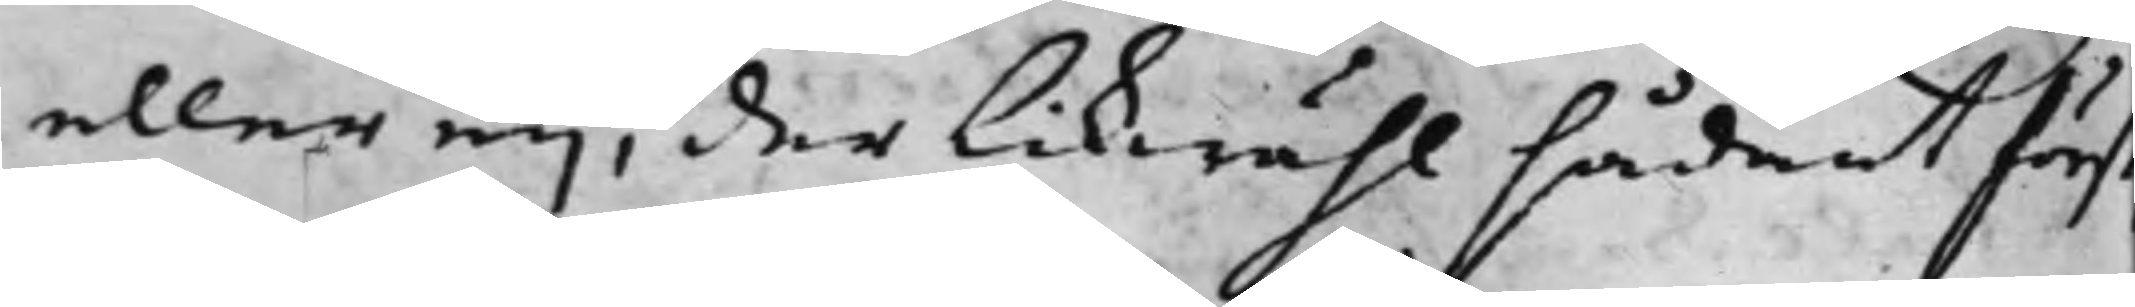eller eij, der likwähl sådant först
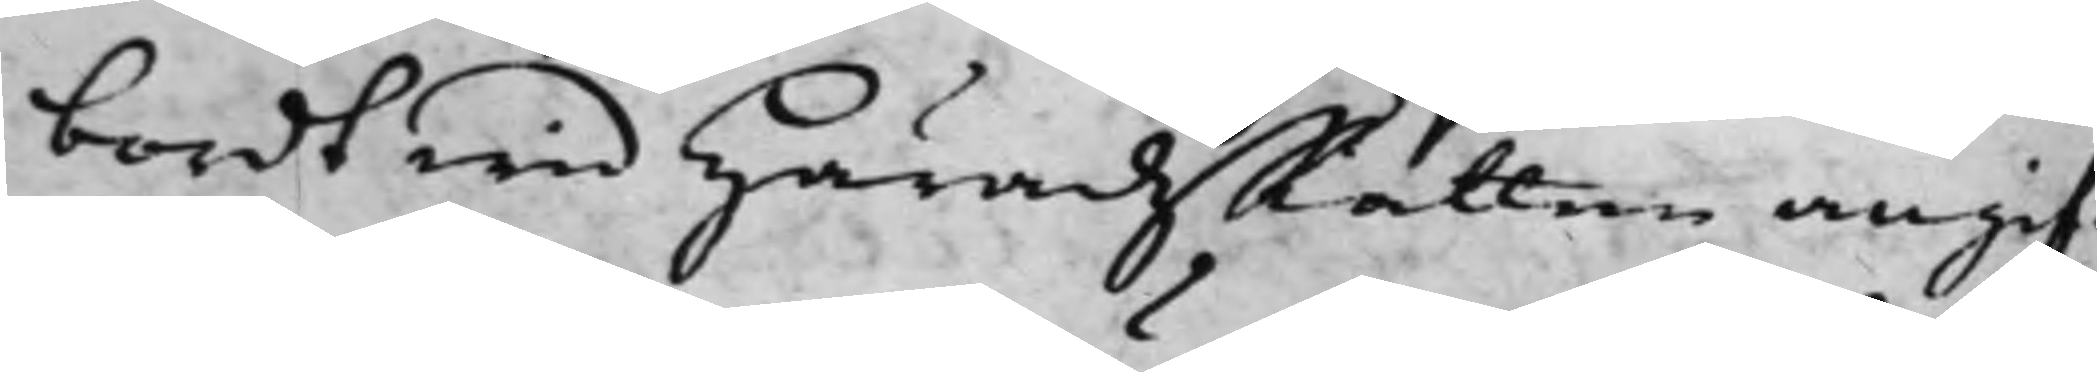bordt wid HäradzRätten angif¬
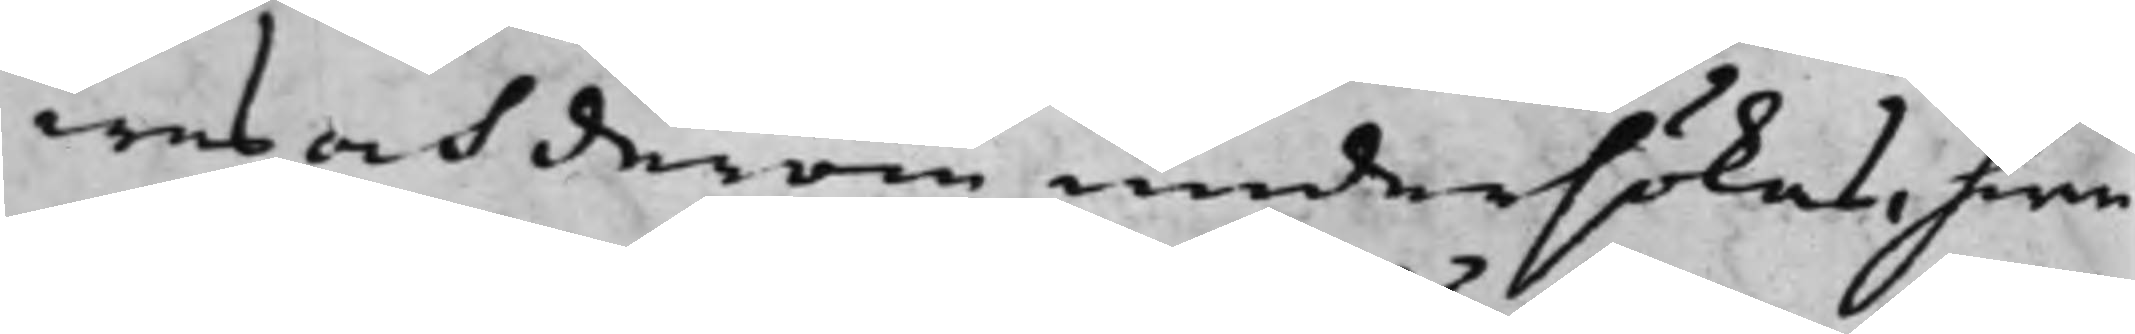wes och derom undersökas, hwa¬
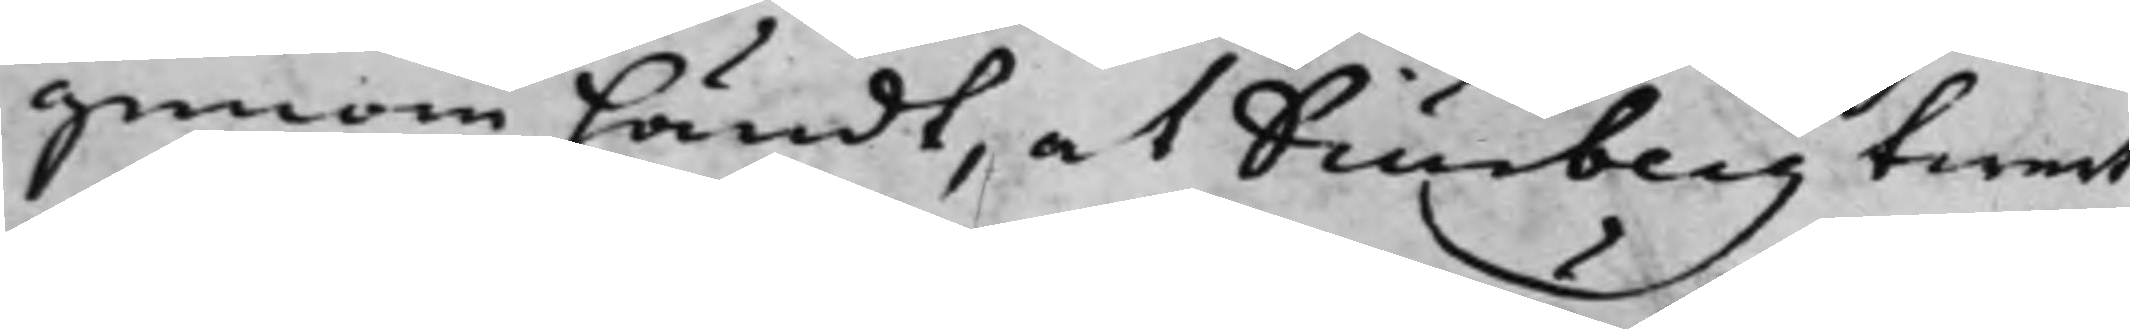genom händt, at Diurberg twert
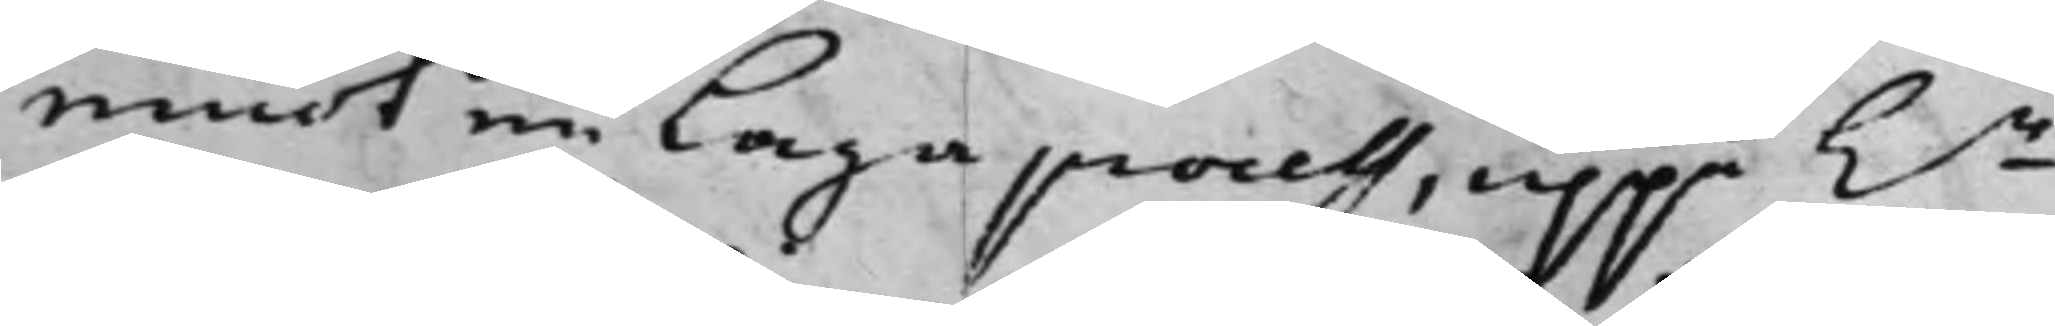emot en Laga process, uppå h.r
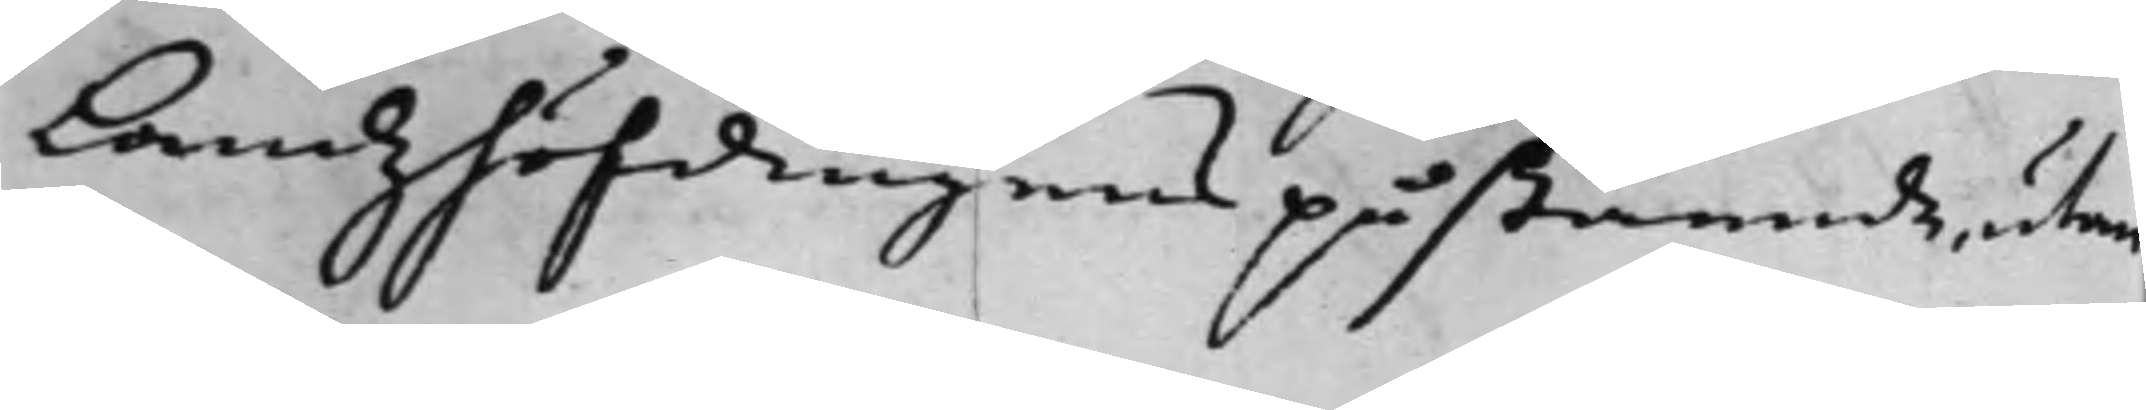Landzhöfdingens påstående, utan
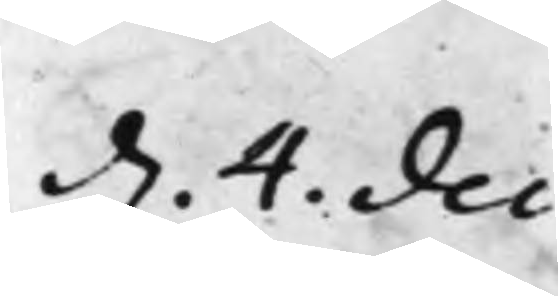d. 4. Dec:
